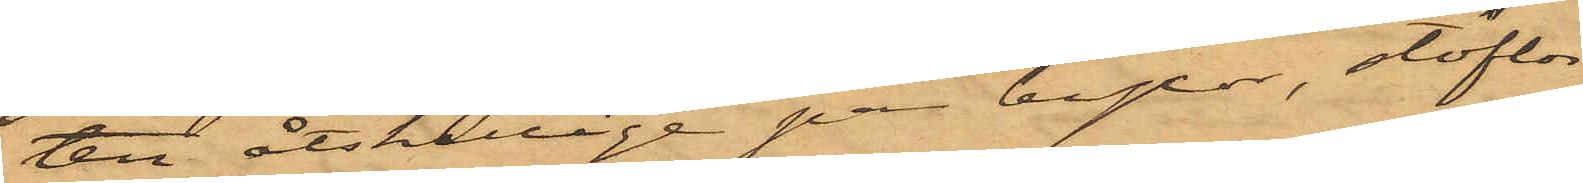ten åtskillige par byxor, stoflar
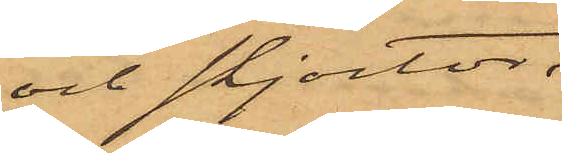och skjortor.
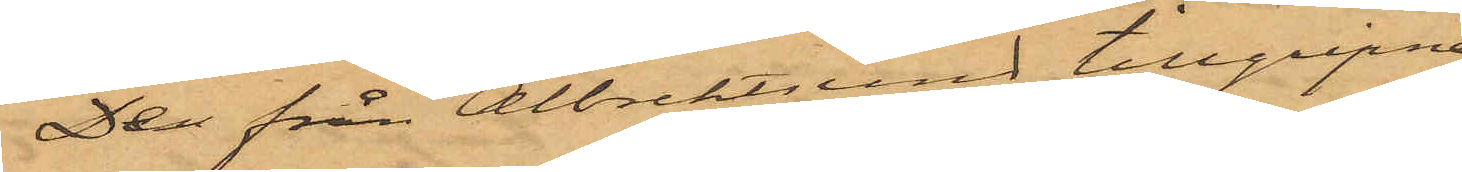De från Albrektsund tillgripne
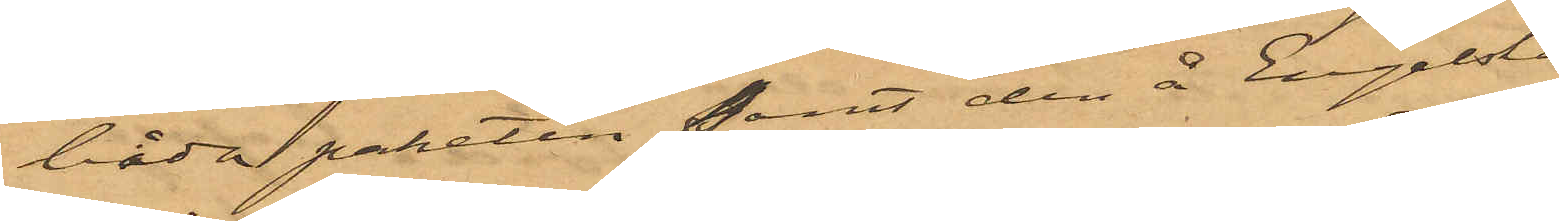båda paketen, samt den å Engelska
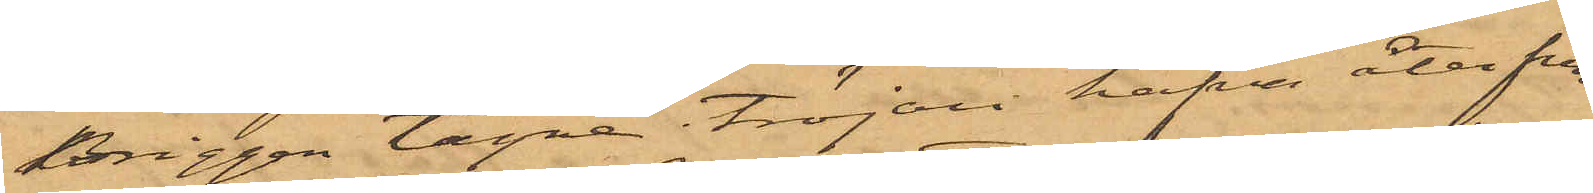briggen tagne tröjan hafva återfun¬
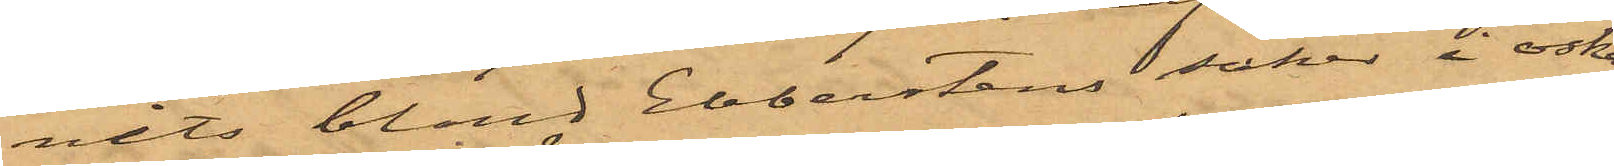nets bland Ebberstens saker i oska¬
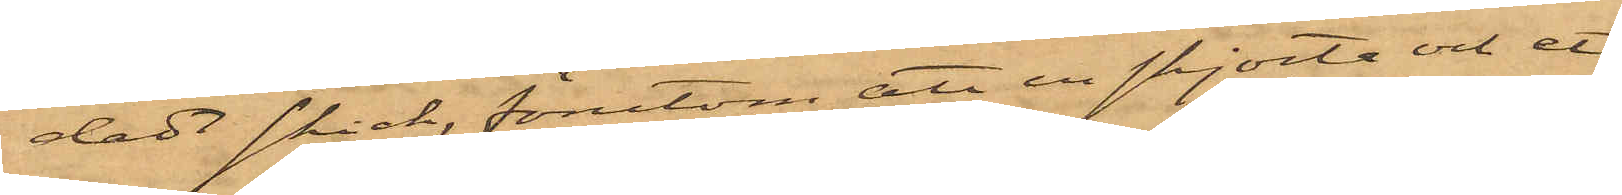dadt skick, förutom att en skjorta och ett
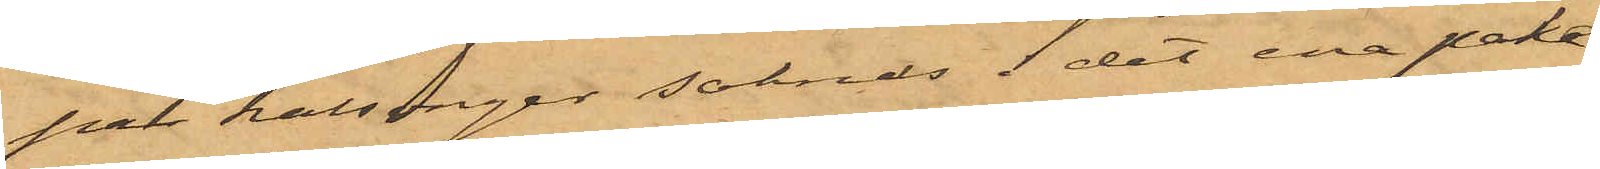par kalsonger saknas i det ena pake¬
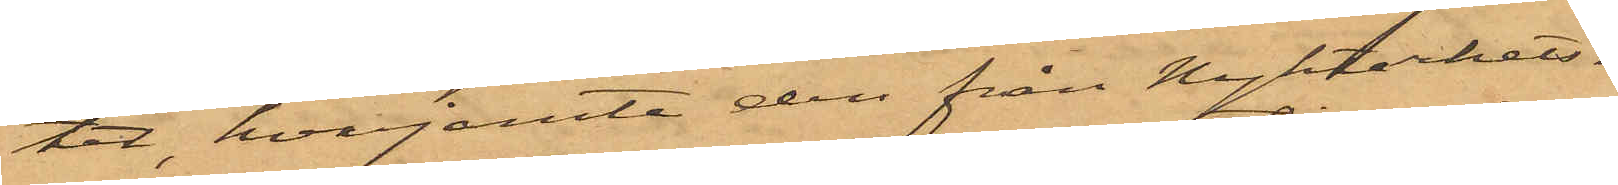tet, hvarjemte den från Nykterhets¬
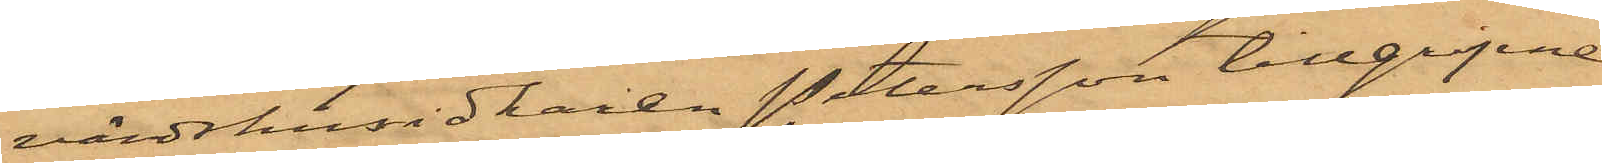värdshusidkaren Petersson tillgripne
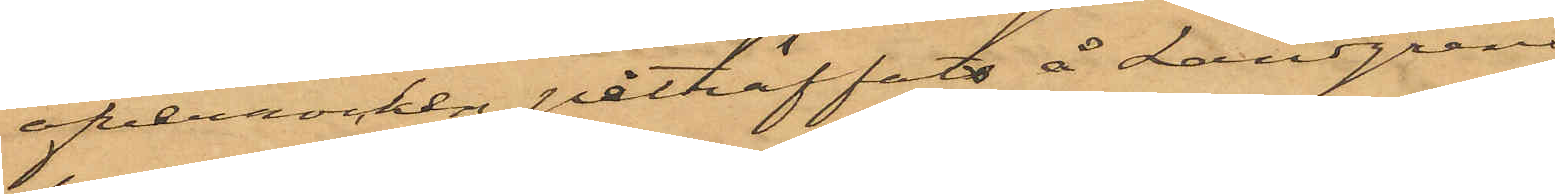öfverrocken påträffats å Landgrens
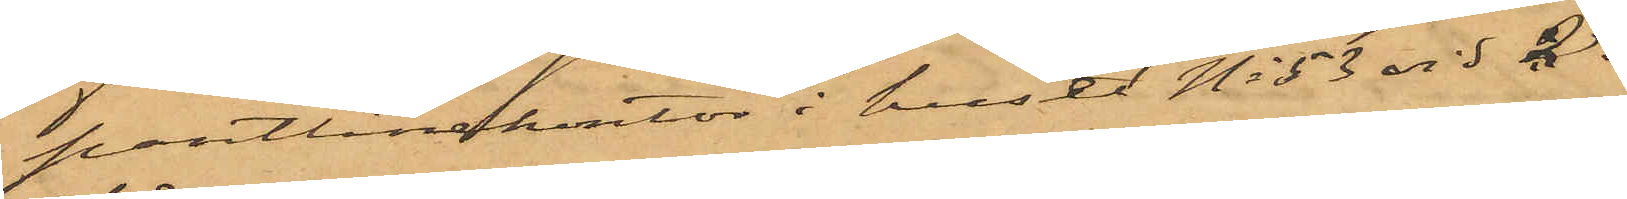pantlånekontor i huset No 53 vid 2dre
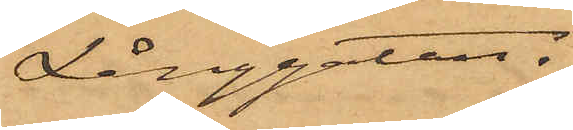Långgatan.
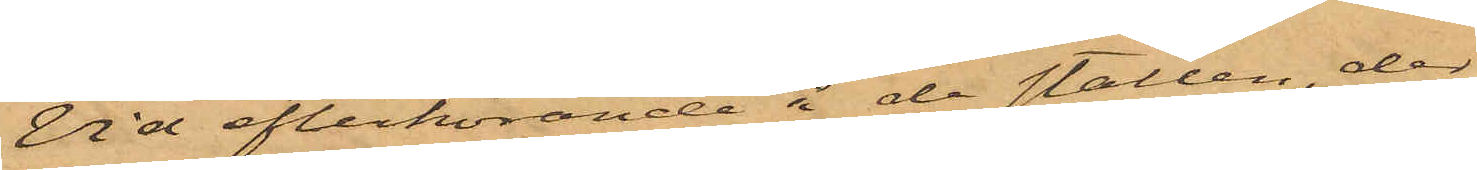Vid efterhörande å de ställen, der
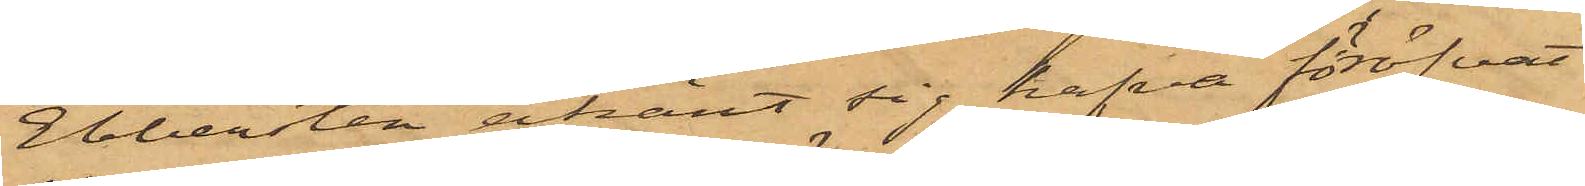Ebbersten ekänt sig hafva föröfvat
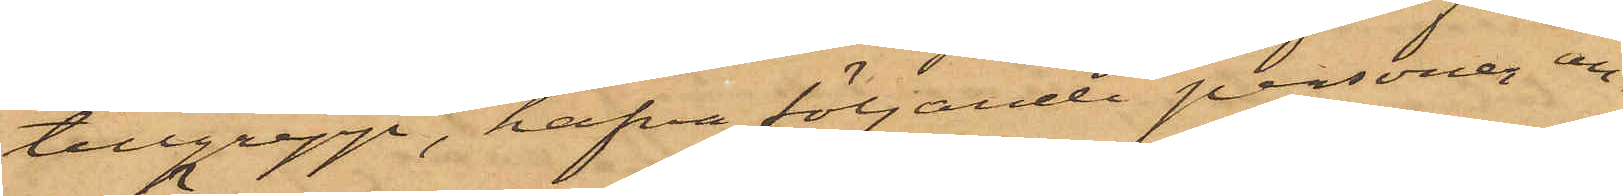tillgrepp, hafva följande personer an¬
